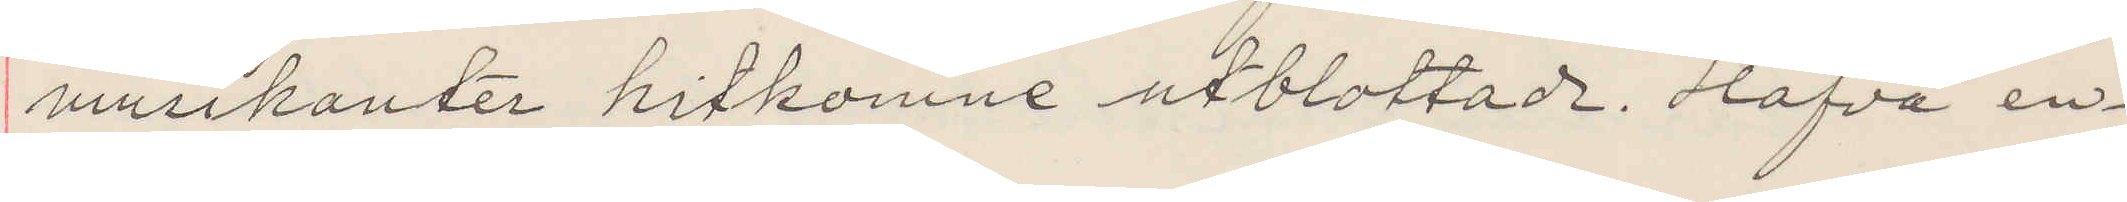musikanter hitkomne utblottade. Hafva en¬
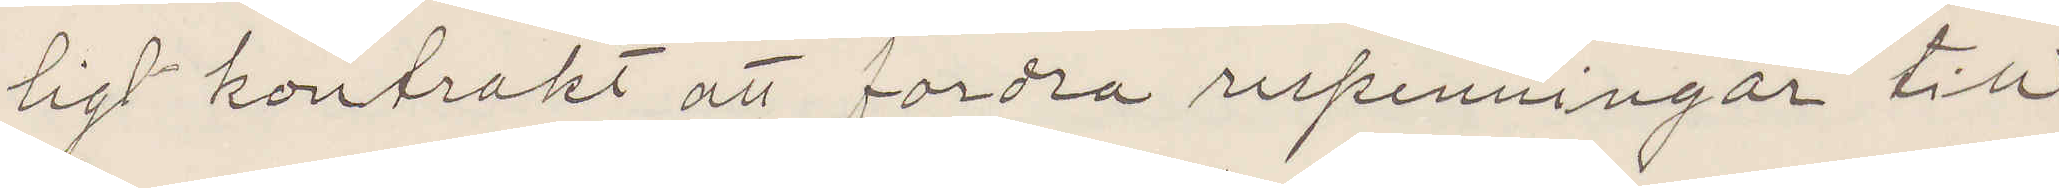ligt kontrakt att fordra respenningar till
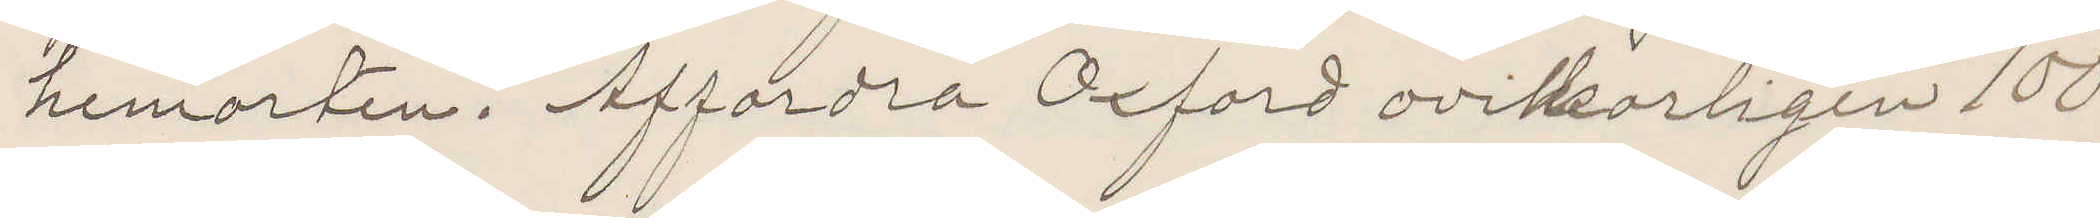hemorten. Affordra Oxford ovilkorligen 100
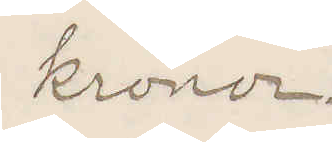kronor.
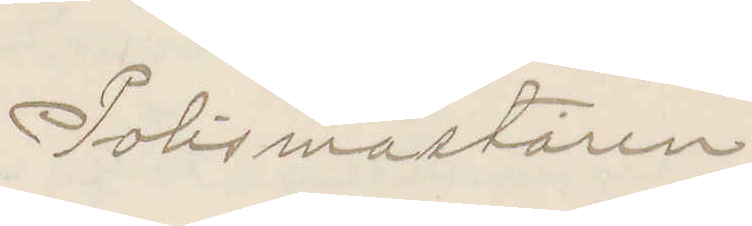Polismästaren
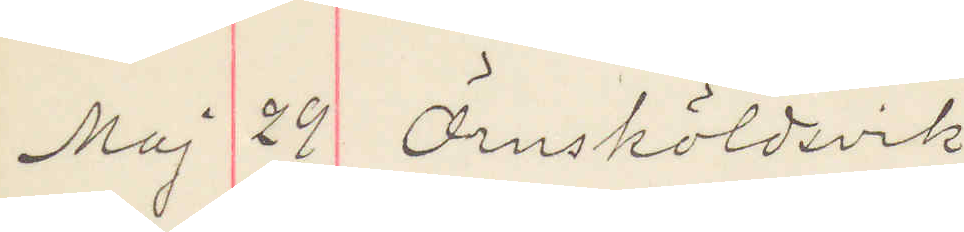Maj 29 Örnsköldsvik
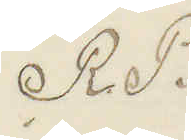R. P.
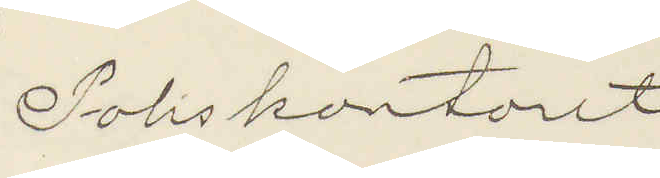Poliskontoret
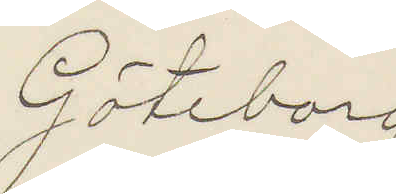Göteborg
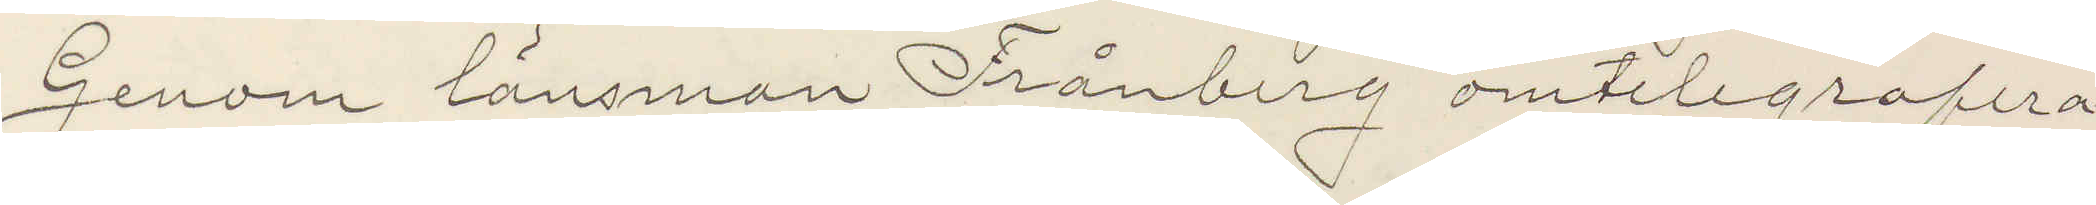Genom länsman Frånberg omtelegrafera¬
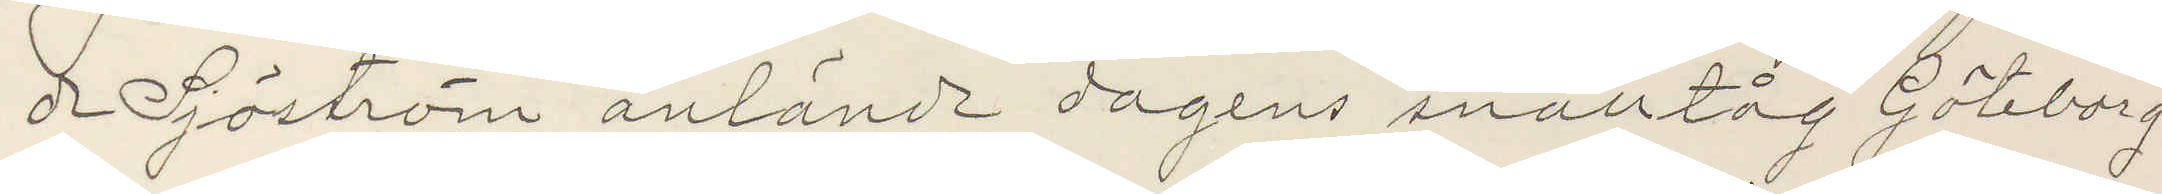de Sjöström anlände dagens snälltåg Göteborg
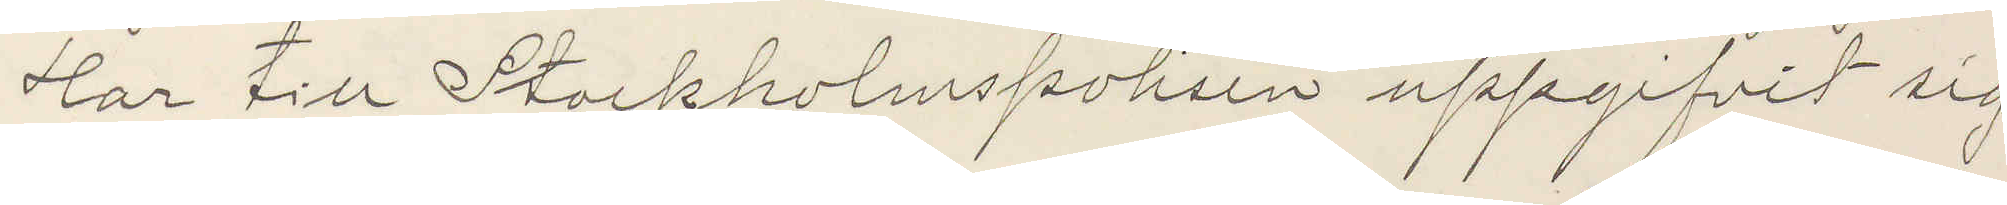Har till Stockholmspolisen uppgifvit sig
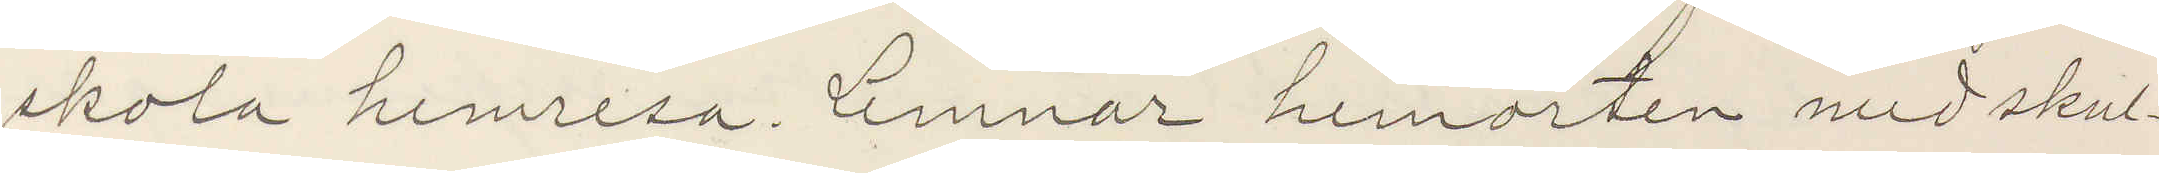skola hemresa. Lemnar hemorten med skul¬
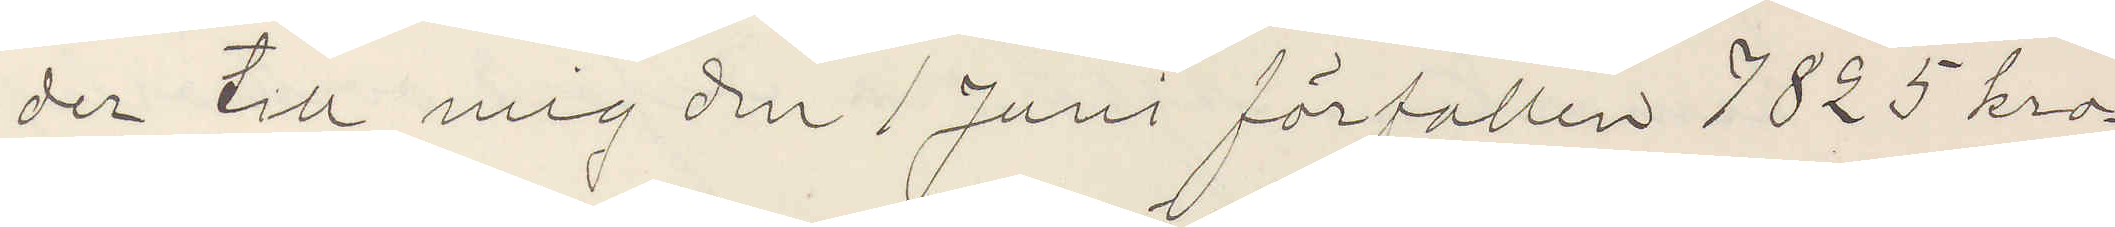der till mig den 1 Juni förfallen 7825 kro¬
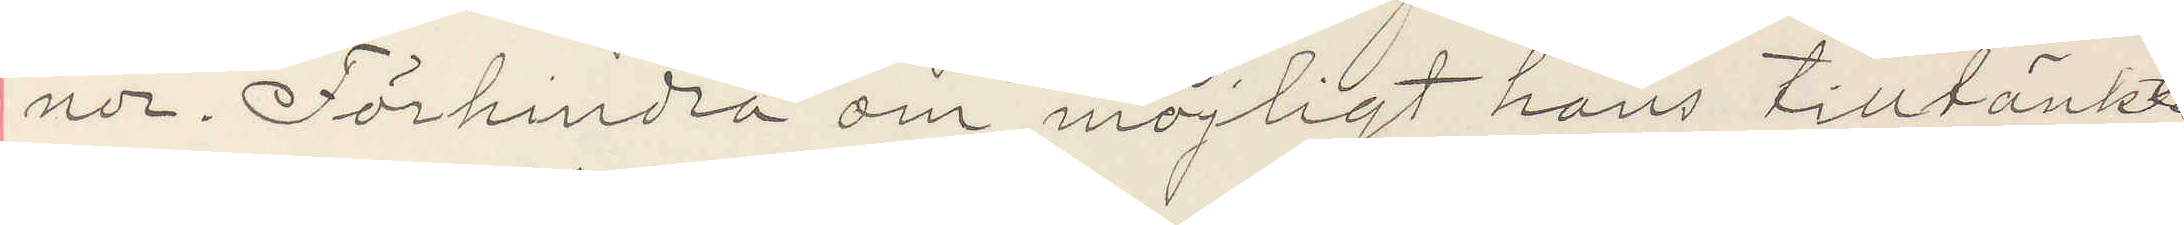nor. Förhindra om möjligt hans tilltänkta
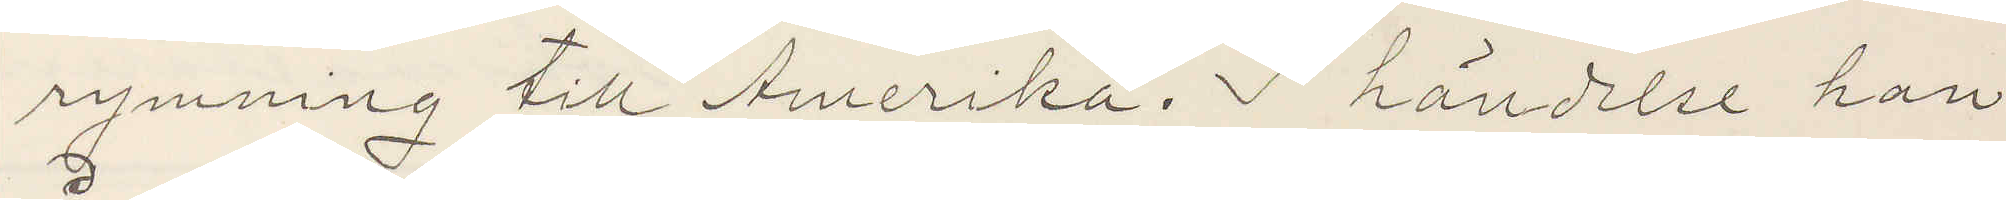rymning till Amerika. I händelse han
